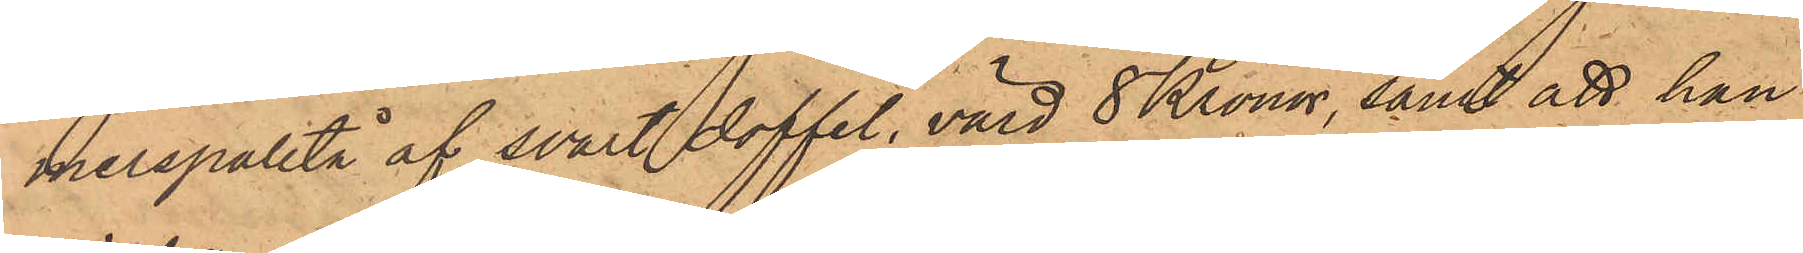merspaletå af svart doffel, värd 8 Kronor, samt att hon
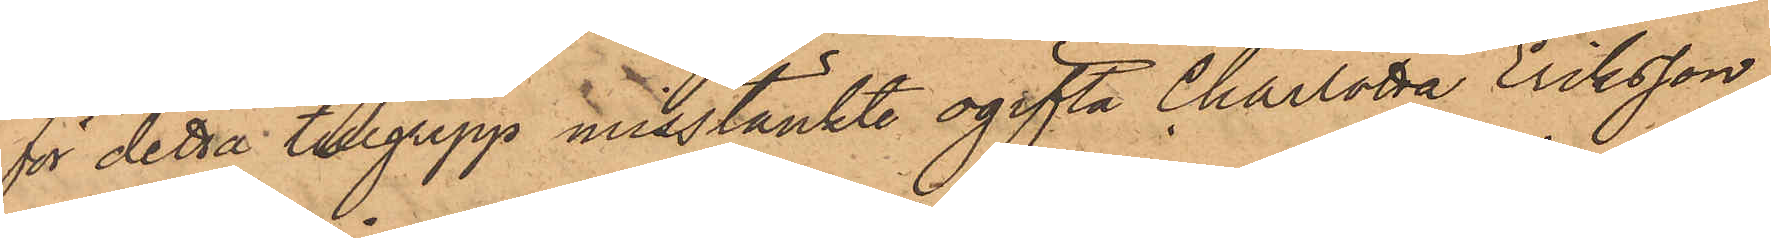för detta tillgrepp misstänkte ogifta Charlotta Eriksson,
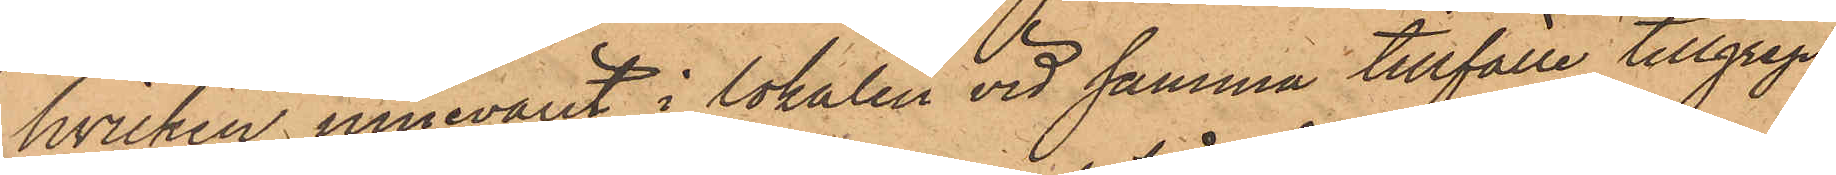hvilken innevarit i lokalen vid samma tillfälle tillgrep¬
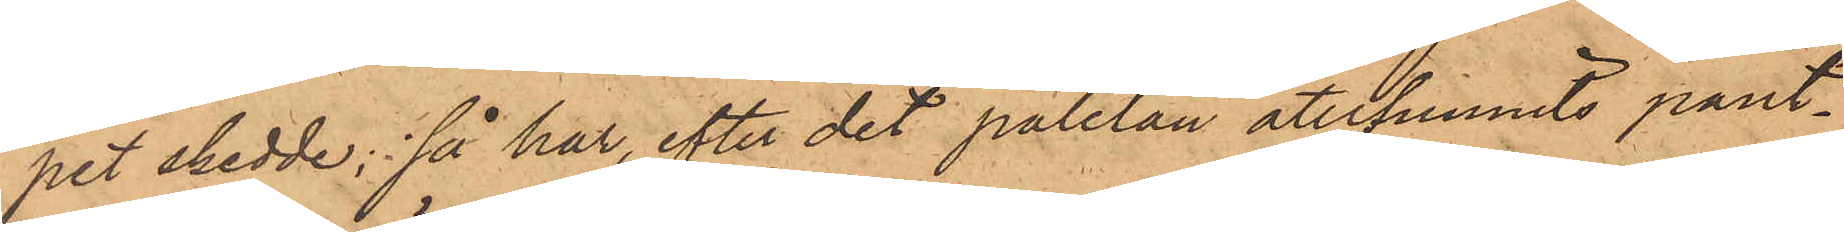pet skedde; så har, efter det paletån återfunnits pant¬
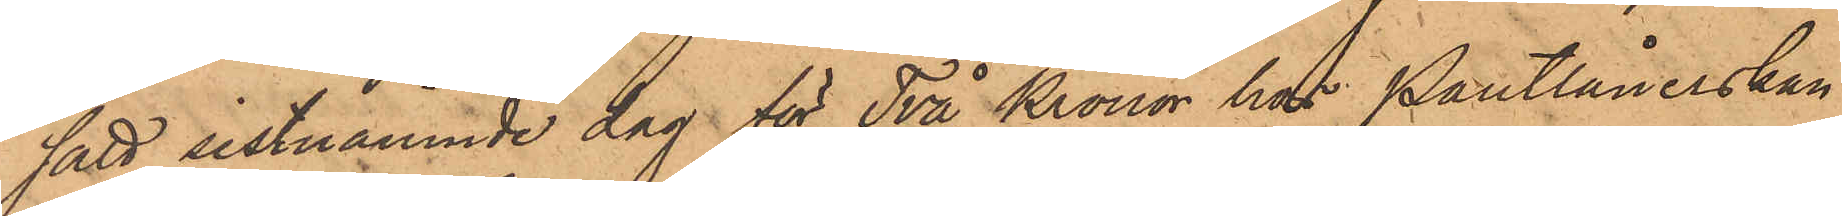satt sistnämnde dag för Två Kronor hos Pantlånerskan
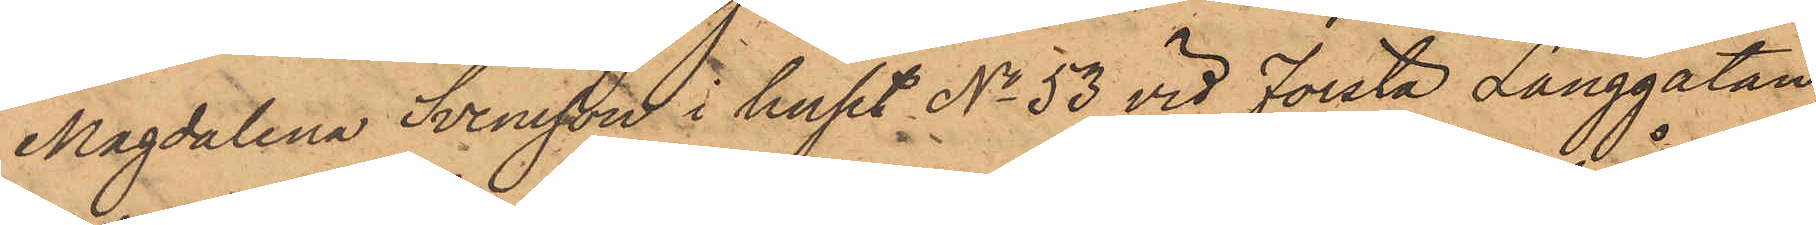Magdalena Svensson i huset No 53 vid Första Långgatan,
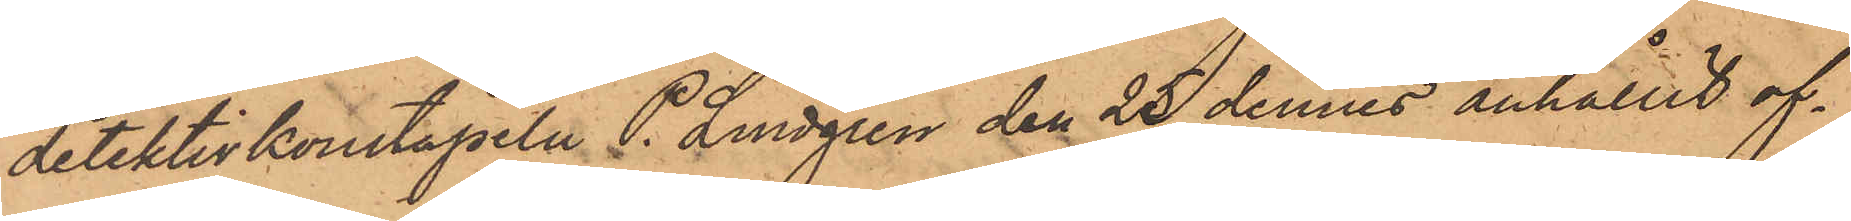detektivkonstapeln P. Lindgren den 25 dennes anhållit of¬
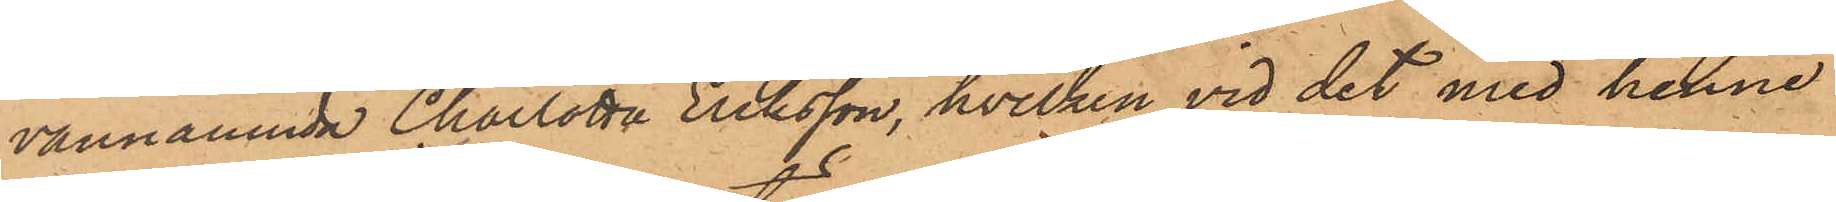vannämnda Charlotta Eriksson, hvilken vid det med henne
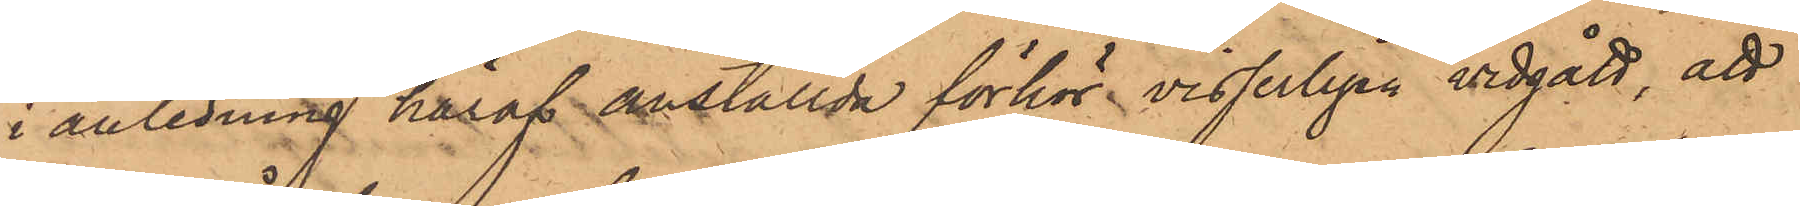i anledning häraf anställda förhör visserligen vidgått, att
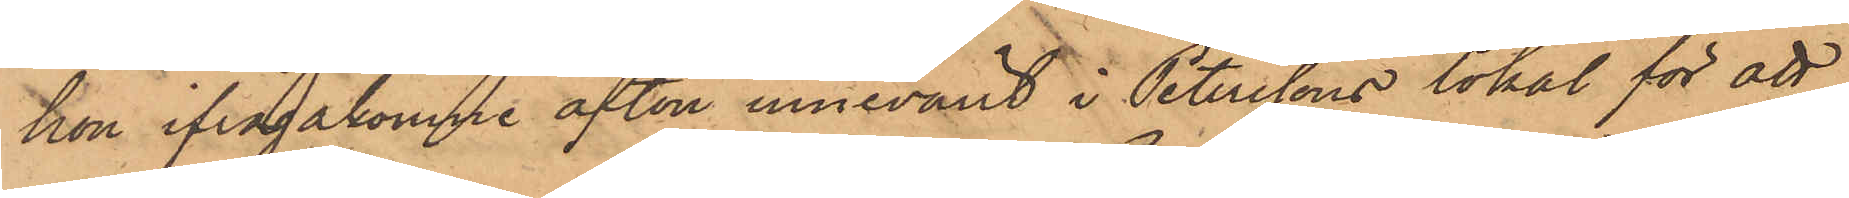hon ifrågakomne afton innevarit i Peterssons lokal för att
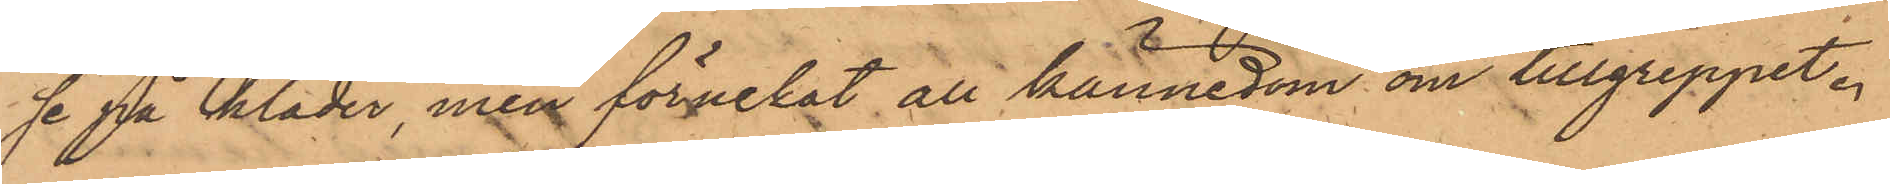se på kläder, men förnekat all kännedom om tillgreppet.
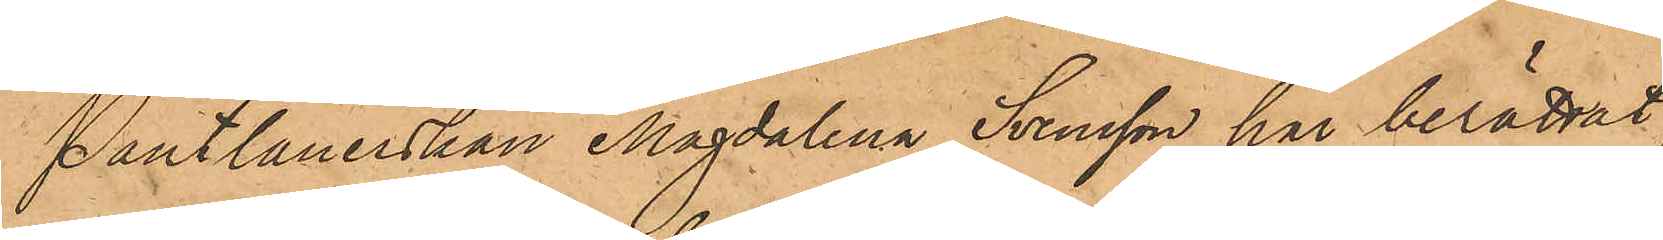Pantlånerskan Magdalena Svensson har berättat
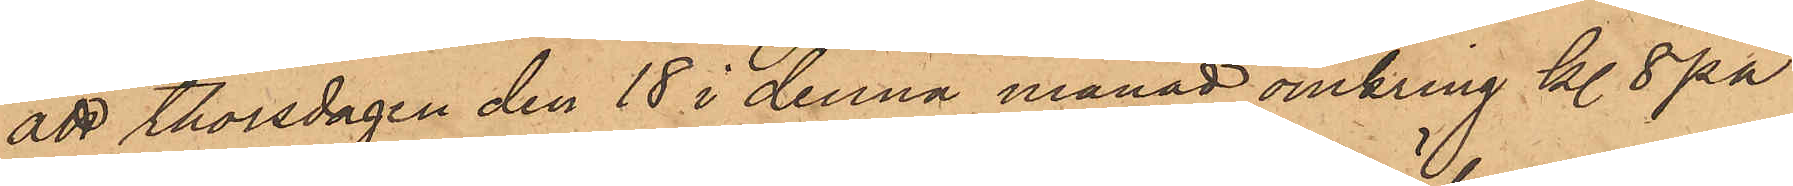att Thorsdagen den 18 i denna månad omkring kl. 8 på
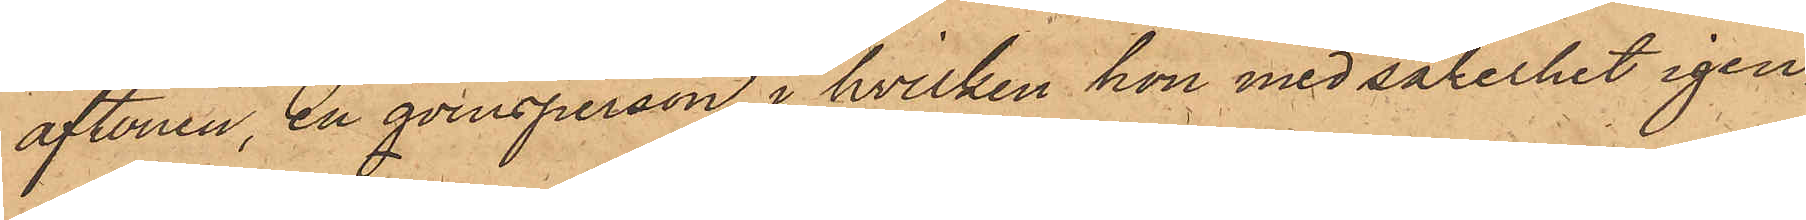aftonen, en qvinsperson, i hvilken hon med säkerhet igen¬
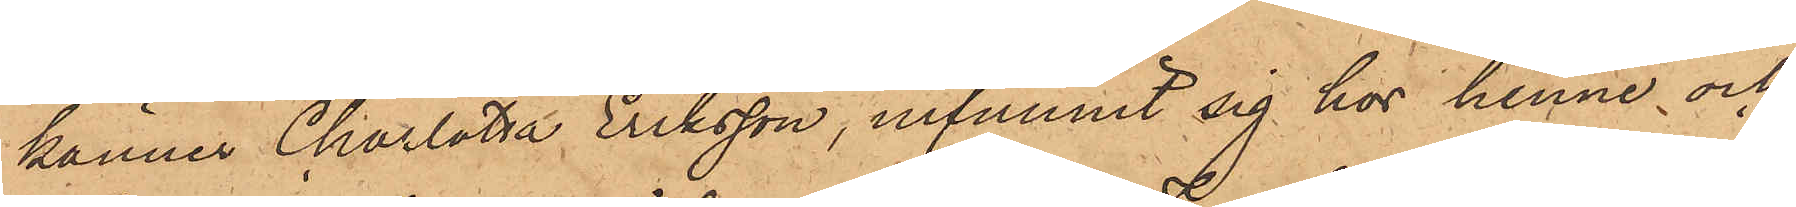känner Charlotta Eriksson, infunnit sig hos henne och
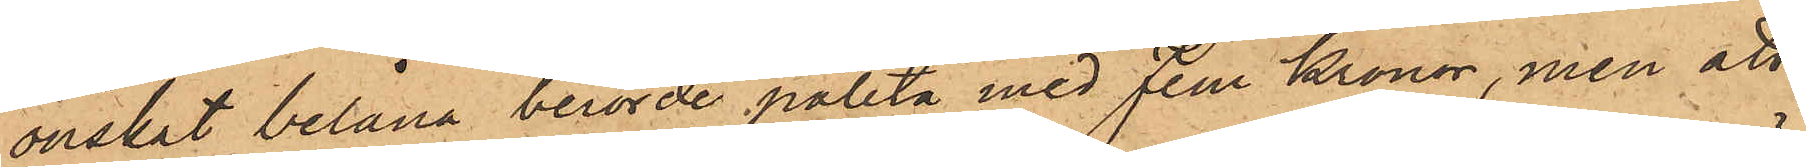önskat belåna berörde paletå med Fem Kronor, men att
